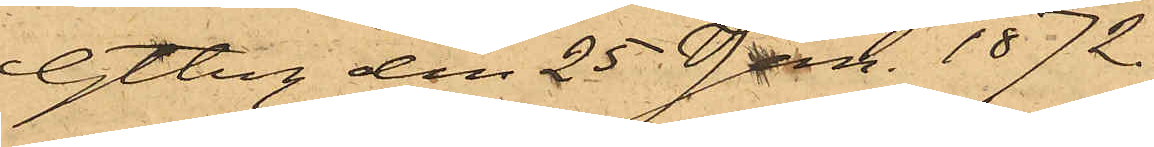Gtbrg den 25 Jan. 1872.
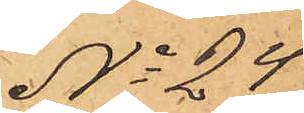No 24
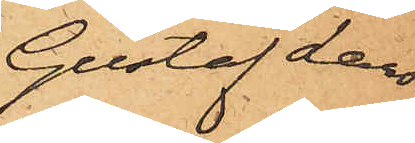Gustaf Lars¬
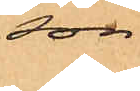son
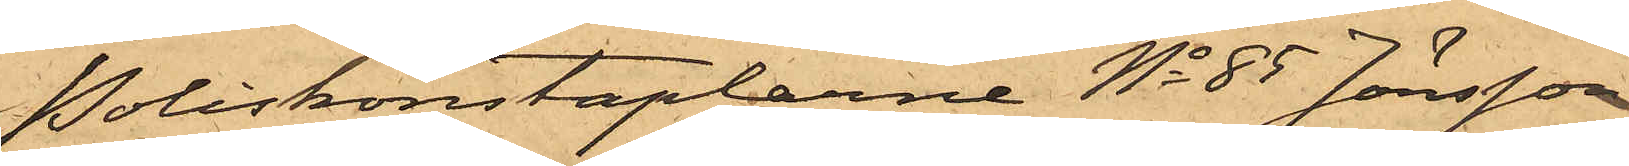Poliskonstaplarne No 85 Jönsson
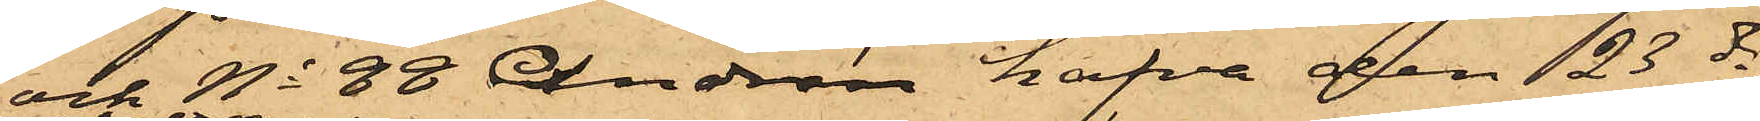och No 88 Andrén hafva den 23 ds
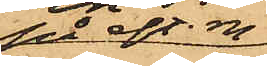på eft. m
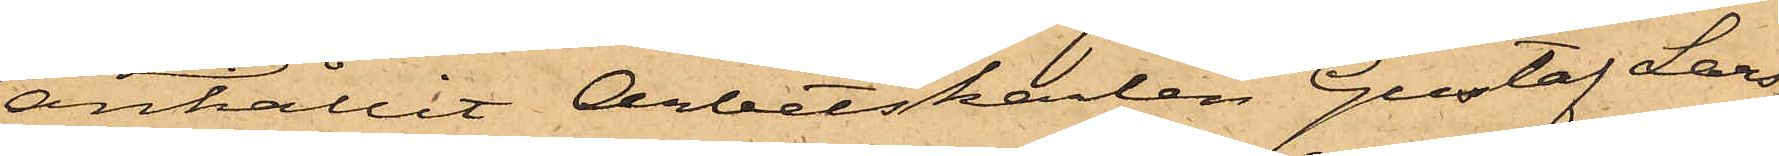anhållit Arbetskarlen Gustaf Lar¬
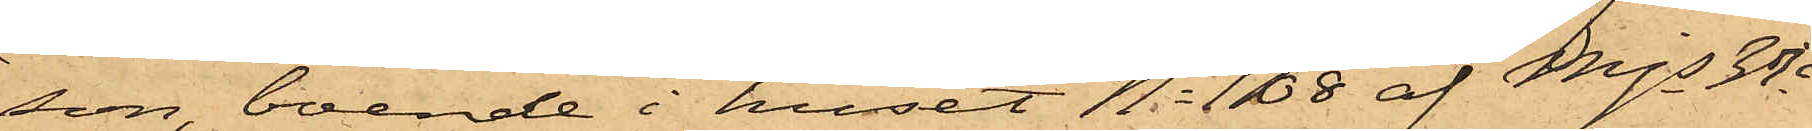son, boende i huset No 108 af Mjs 3dje
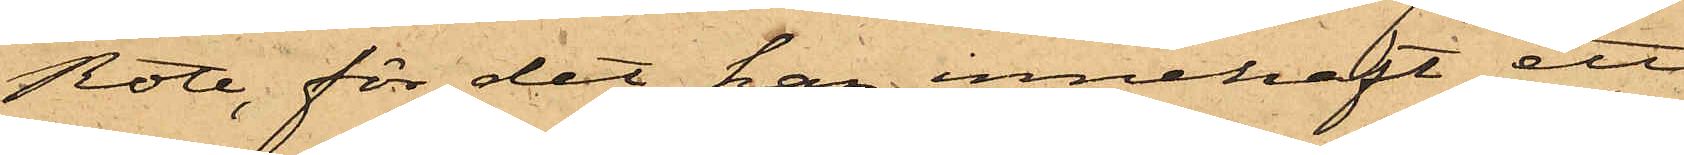Rote, för det han innehaft ett
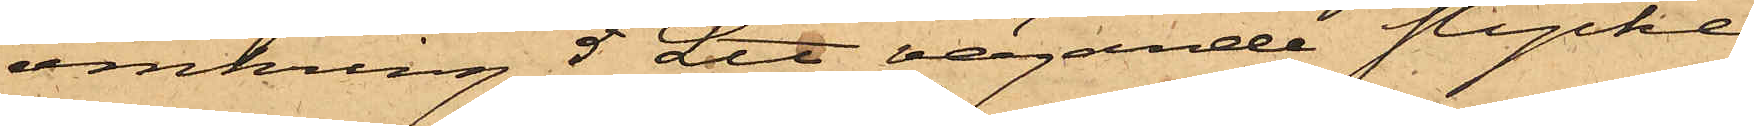omkring 5 L℔ vägande stycke
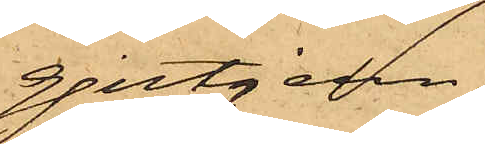gjutjern
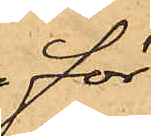för
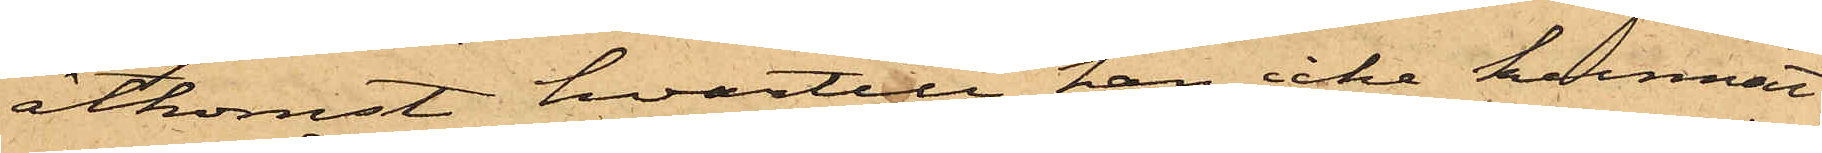åtkomst hvartill han icke kunnat
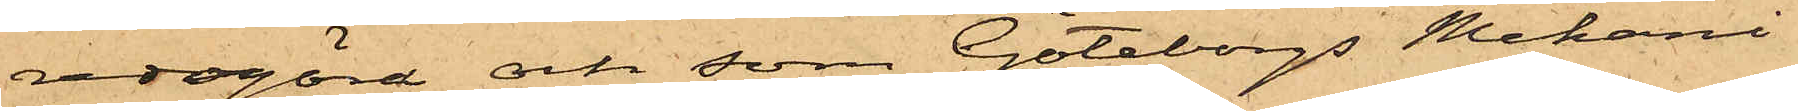redogöra och som Göteborgs Mekani¬
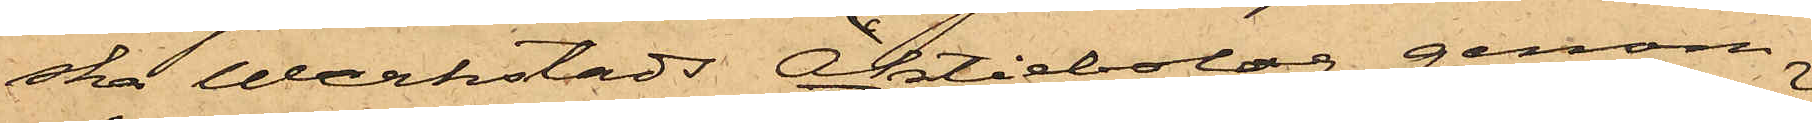ska Werkstads Aktiebolag genom
